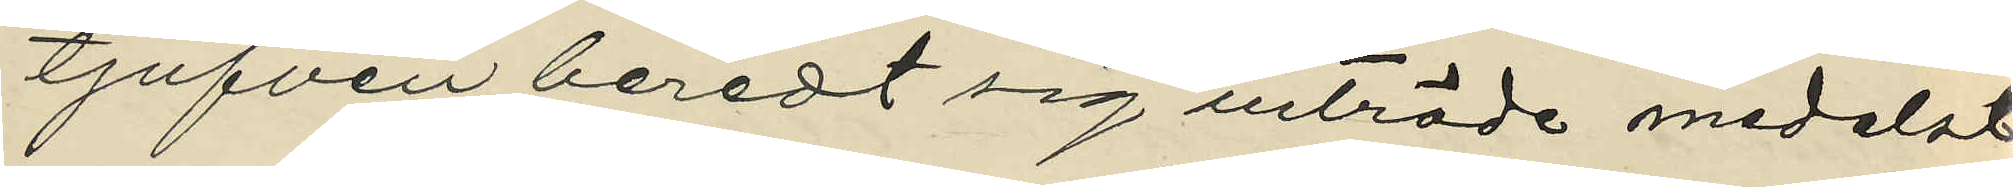tjufven beredt sig inträde medelst
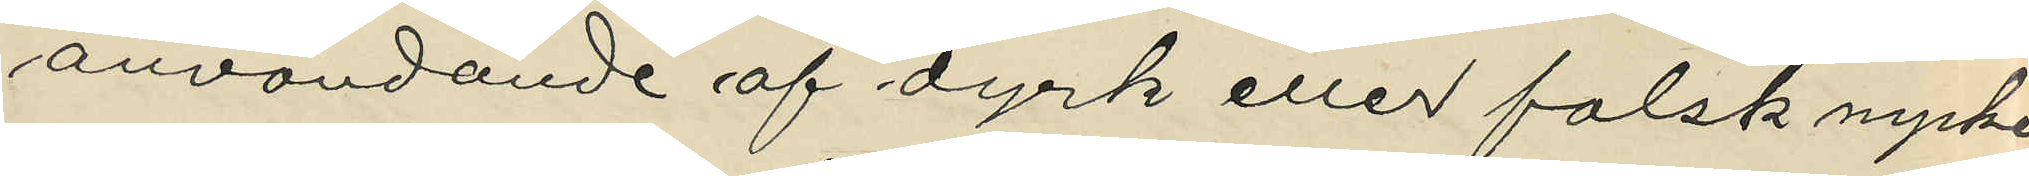användande af dyrk eller falsk nyckel
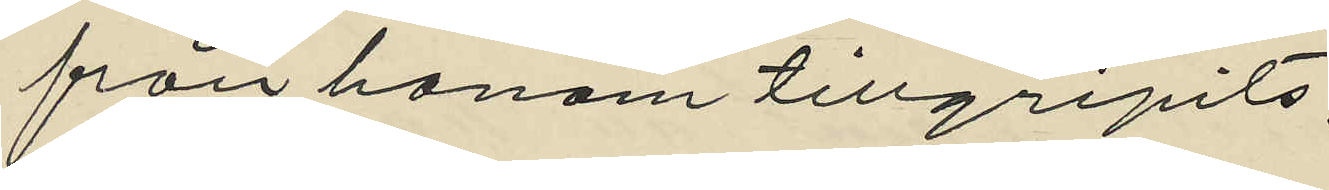från honom tillgripits,
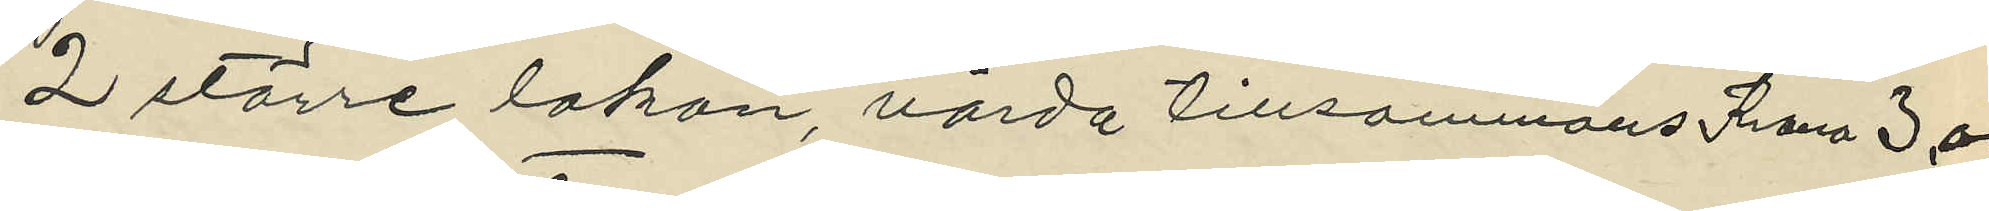2 större lakan, värda tillsammans Krona 3,00
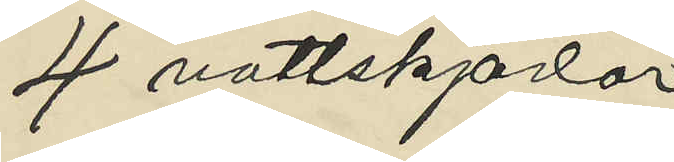4 nattskjortor
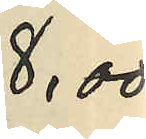8,00
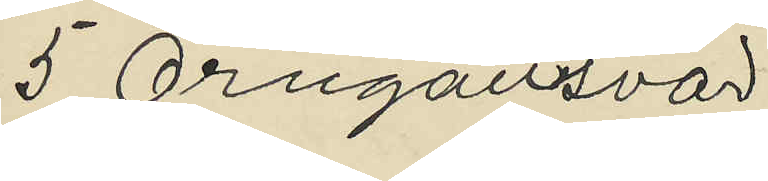5 Örngottsvar
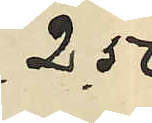2,50
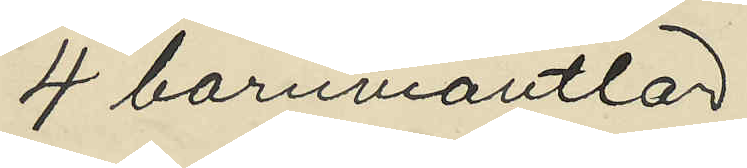4 barnmantlar
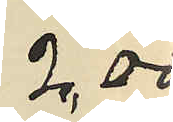2,00
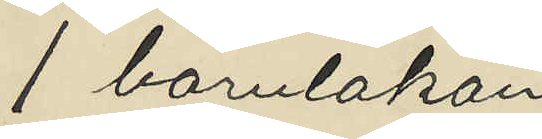 1 barnlakan
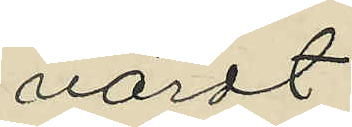värdt
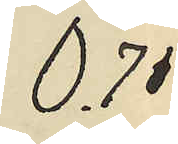0,75
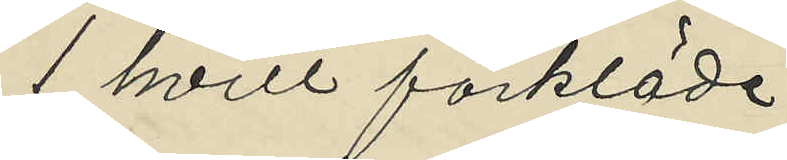1 hvitt förkläde
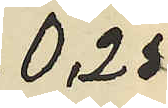0,25
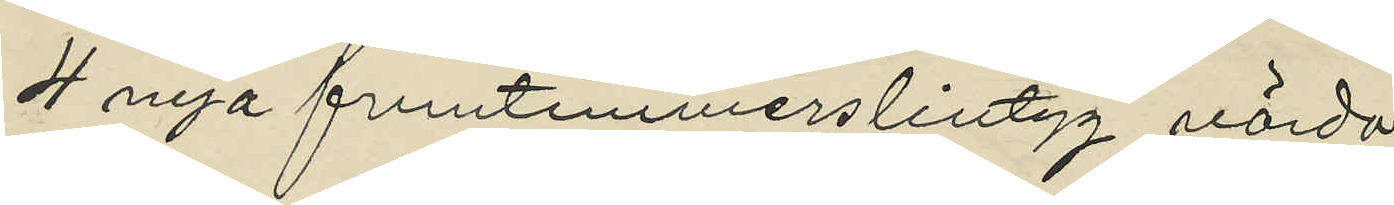4 nya fruntimmerslintyg värda
